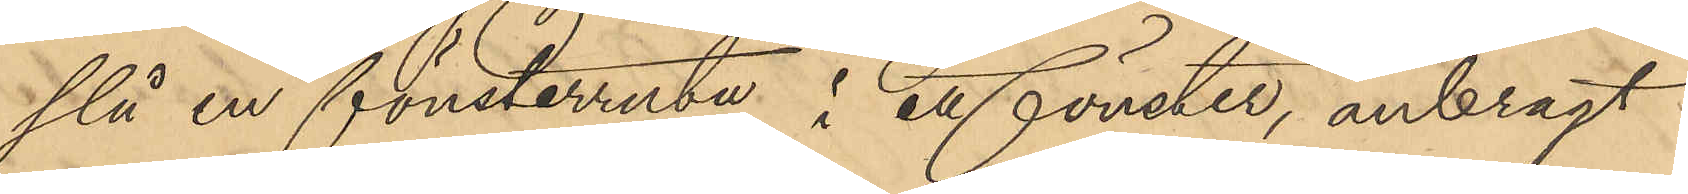slå en fönsterruta i ett fönster, anbragt
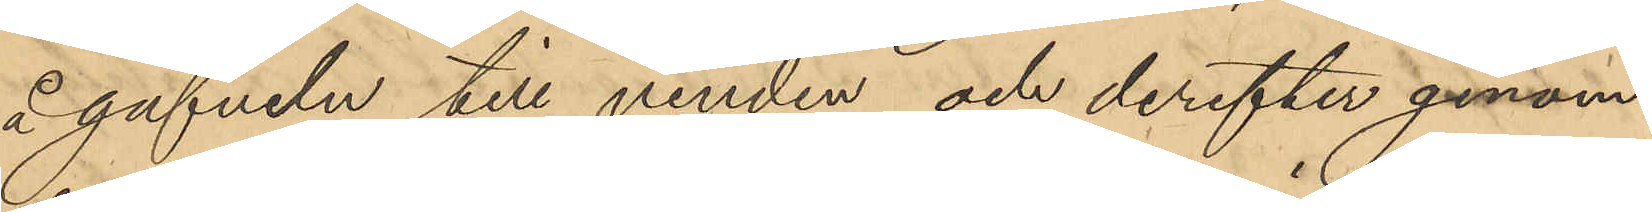å gafveln till vinden och derefter genom
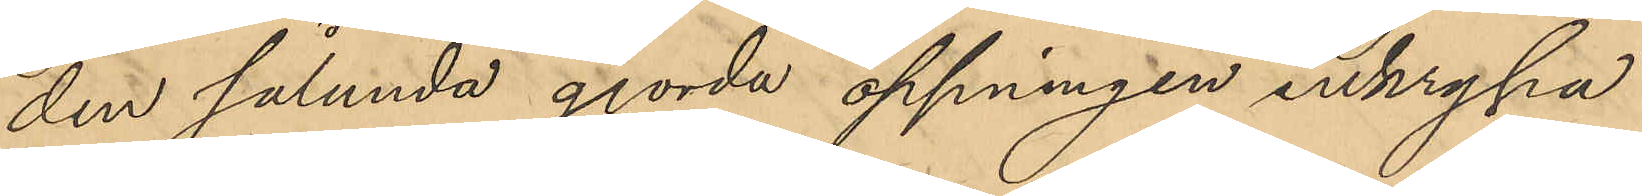den sålunda gjorda öppningen inkrypa
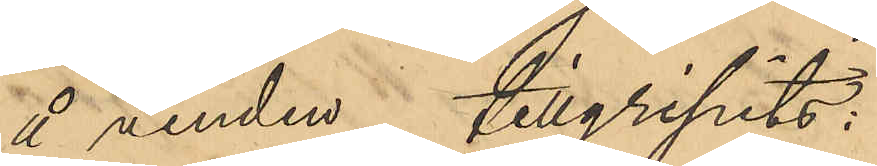å vinden tillgripits:
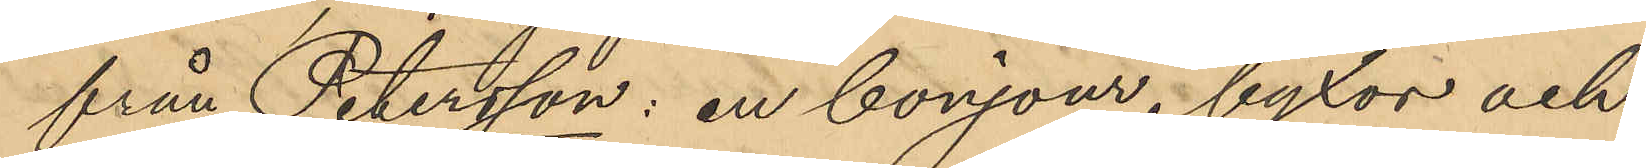från Petersson: en bonjour, byxor och
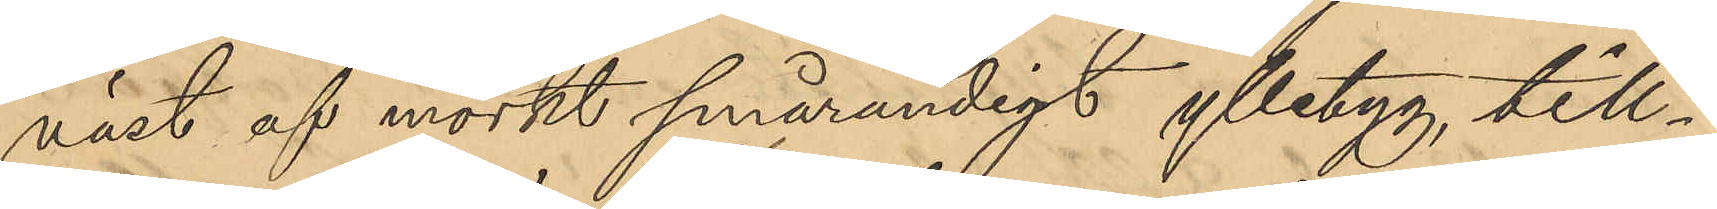väst af mörkt smårandigt ylletyg, till¬
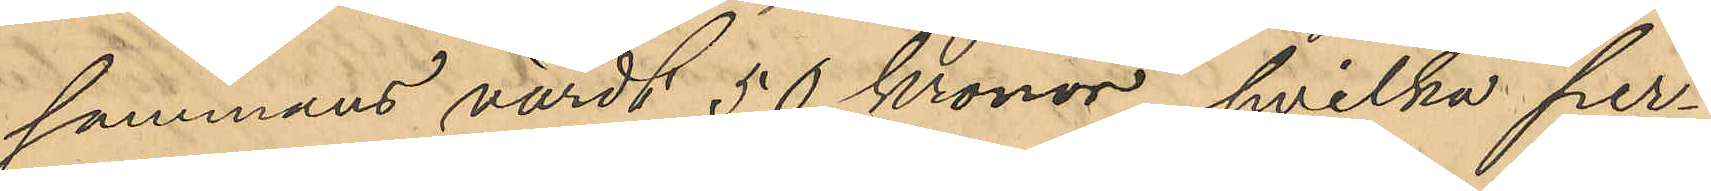sammans värdt 50 kronor, hvilka per¬
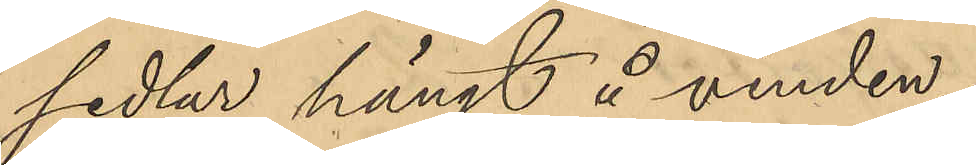sedlar hängt å vinden.
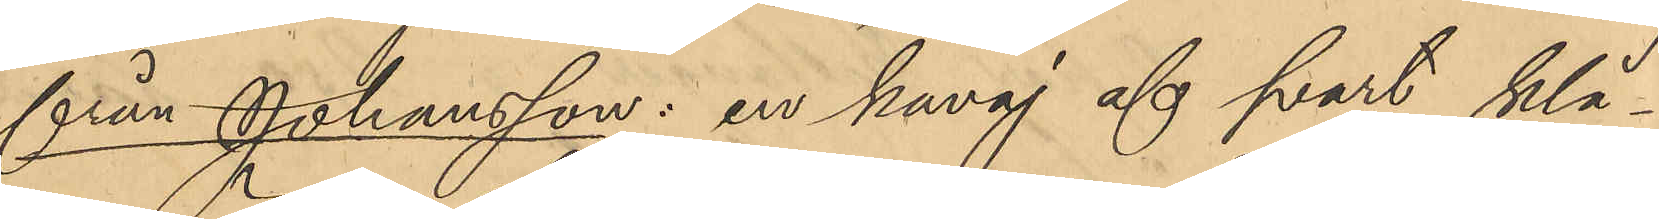från Johansson: en kavaj af svart klä¬
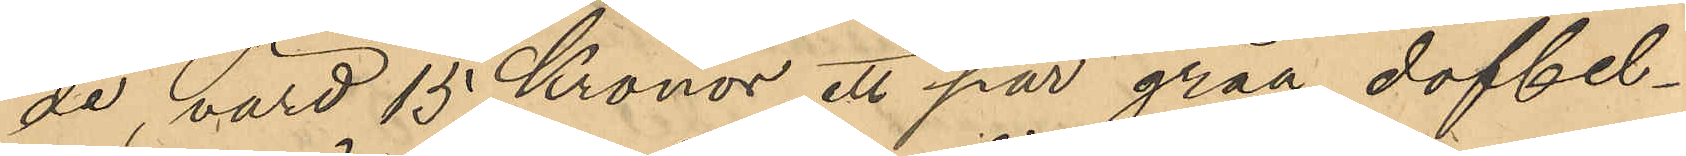de värd 15 Kronor, ett par gråa doffel¬
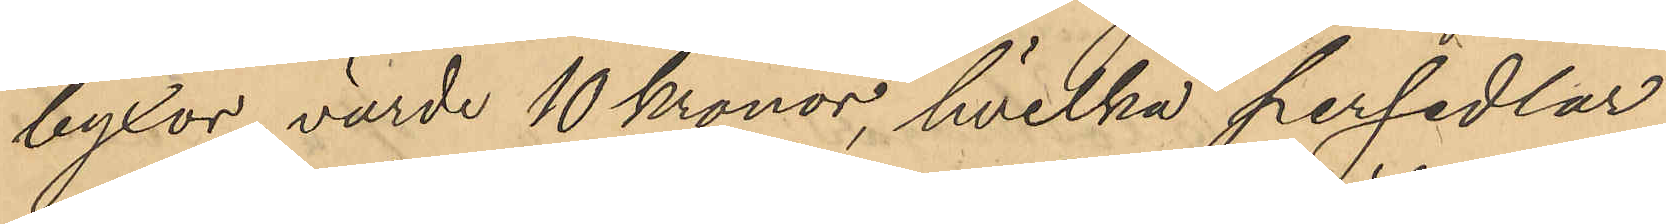byxor, värde 10 kronor, hvilka persedlar
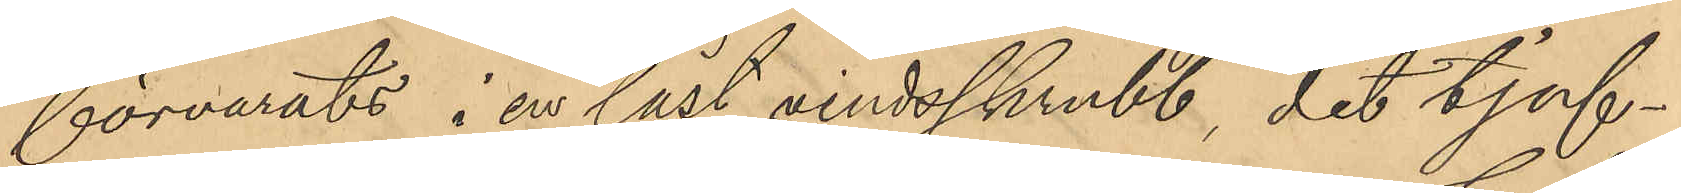förvarats i en låst vindsskrubb, dit tjuf¬
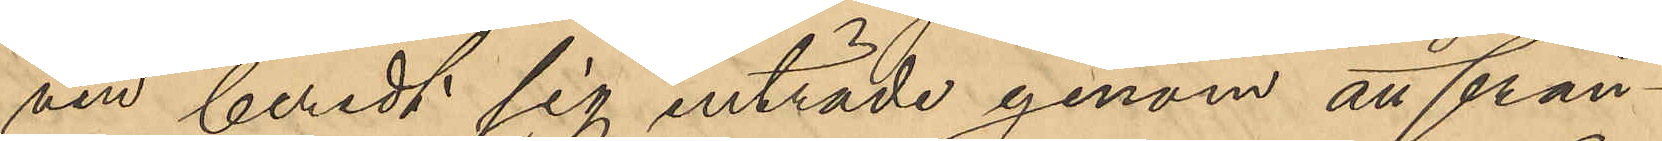ven beredt sig inträde genom att från¬
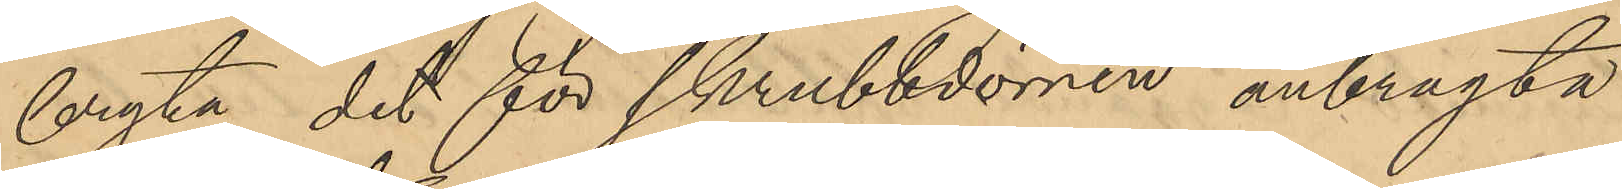bryta det för skrubbdörren anbragta
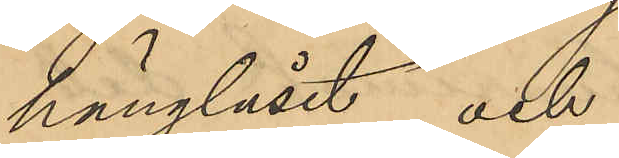hänglåset; och
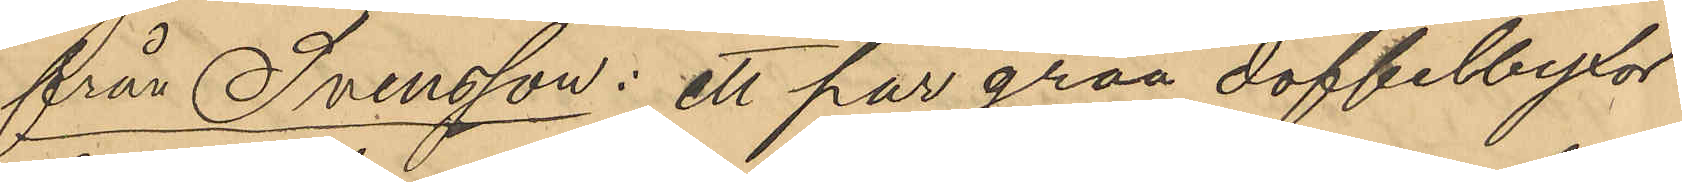från Svensson: ett par gråa doffelbyxor
